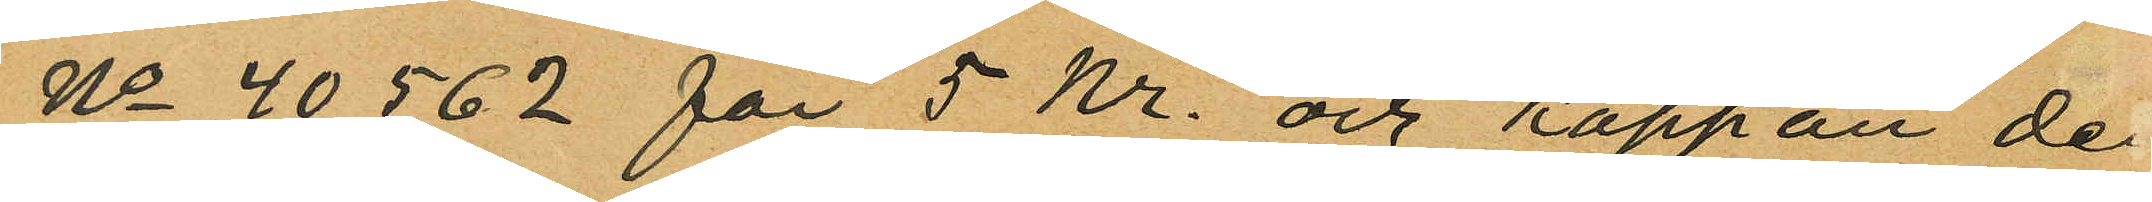No 40562 för 5 Kr. och kappan de
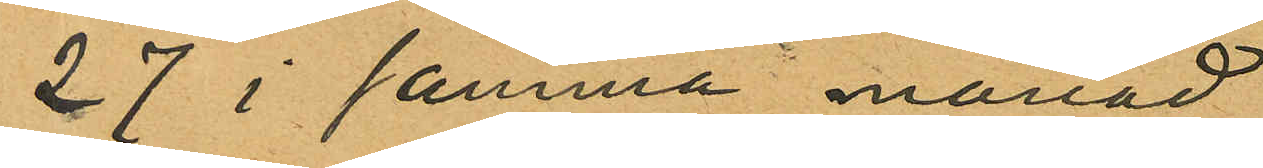27 i samma månad
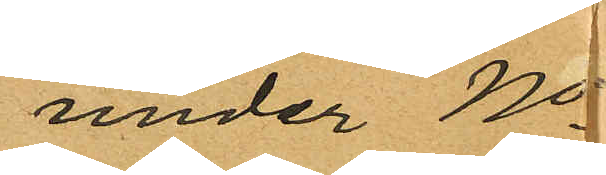under No
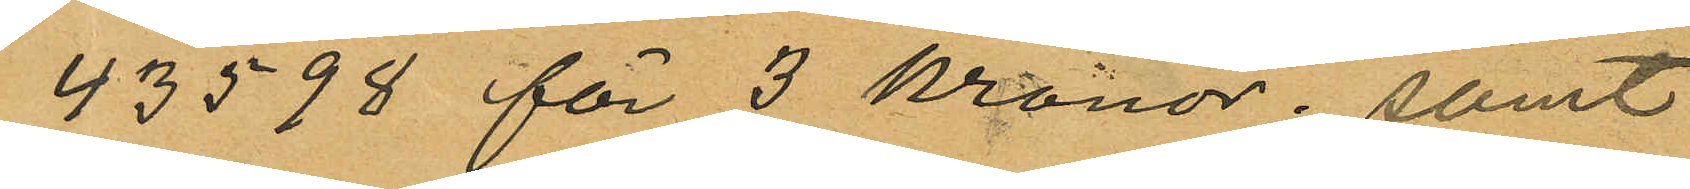43598 för 3 kronor; samt
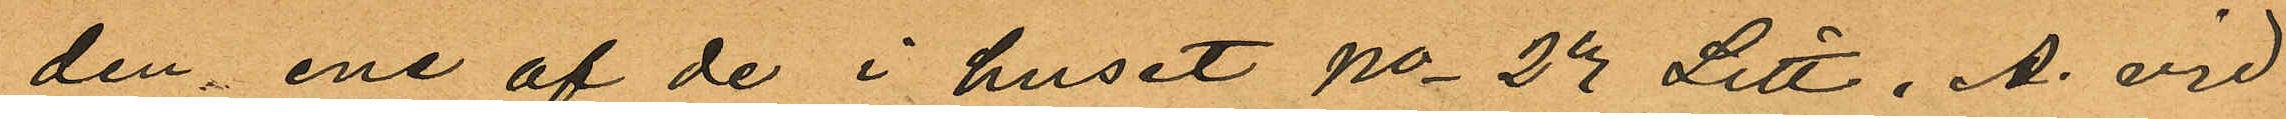den ene af de i huset No 23 Litt. A. vid
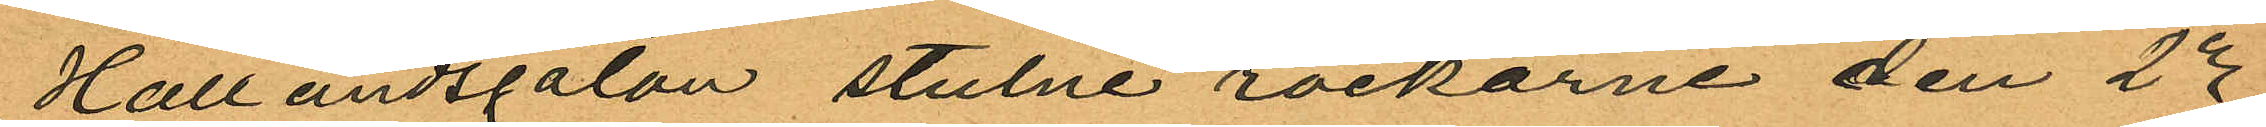Hallandsgatan stulne rockarne den 23
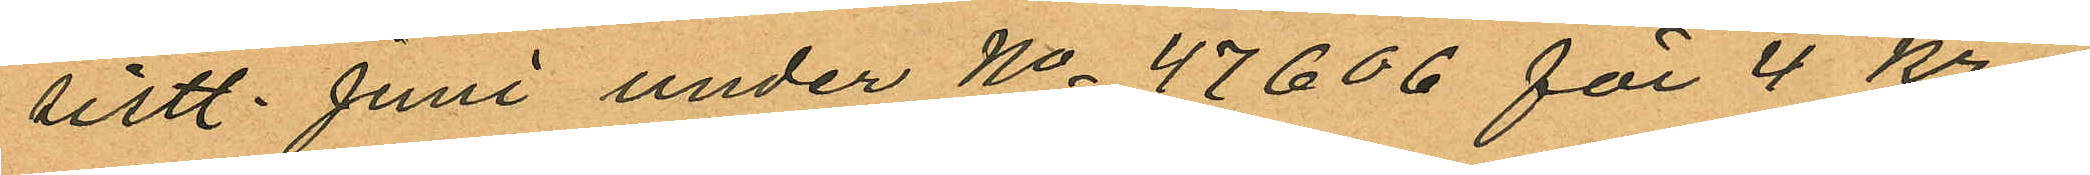sistl. Juni under No 47606 för 4 kr
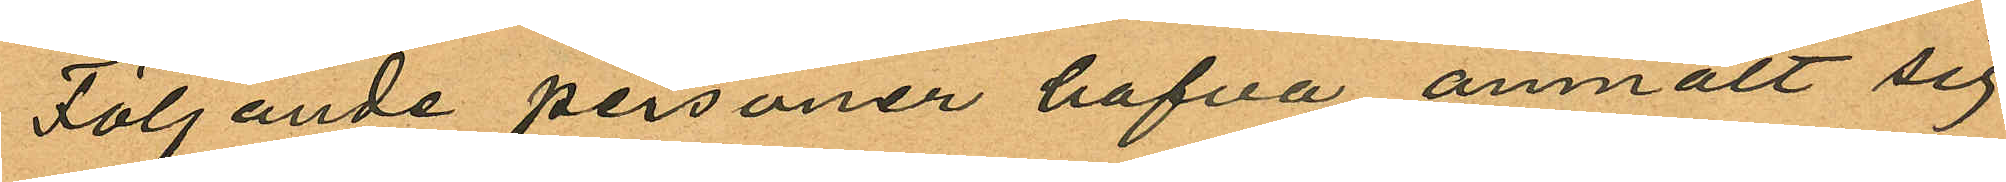Följande personer hafva anmält sig
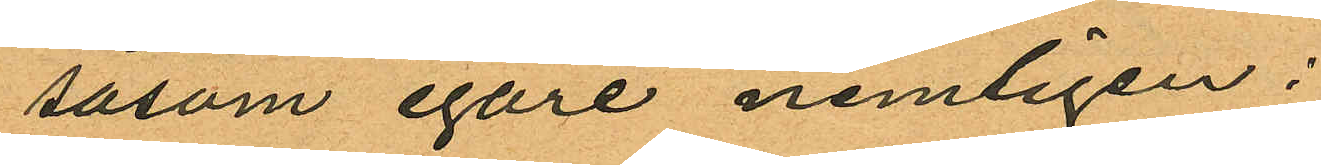såsom egare nemligen:
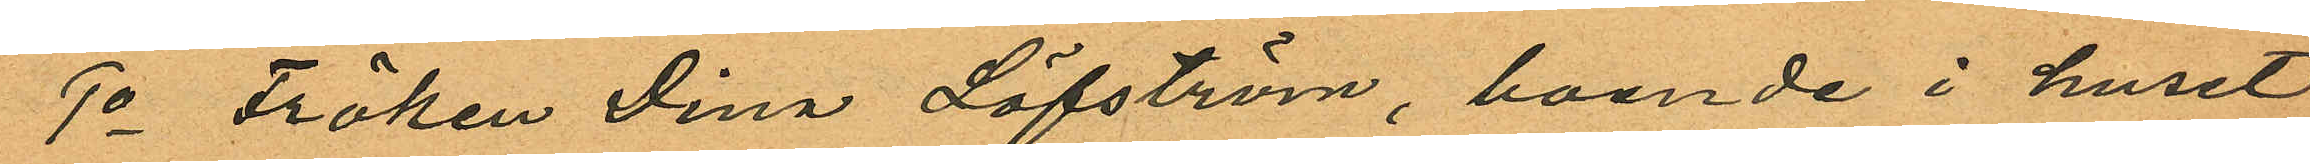1o Fröken Dina Löfström, boende i huset
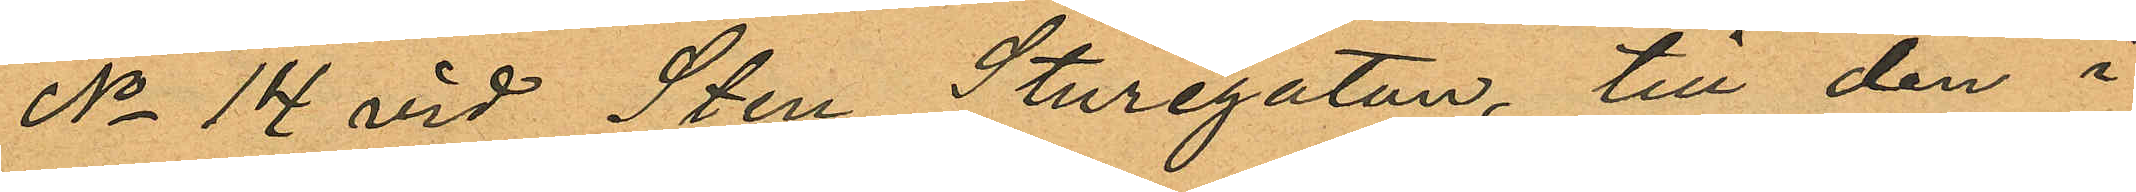No 14 vid Sten Sturegatan, till den i
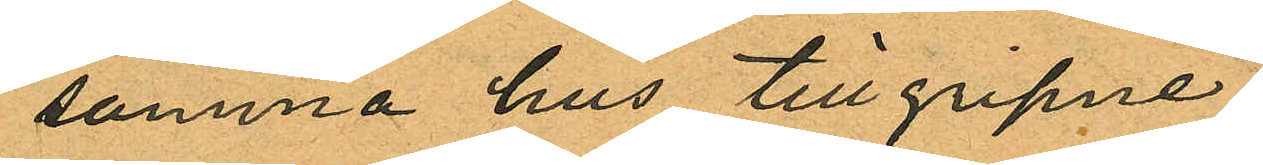samma hus tillgripne
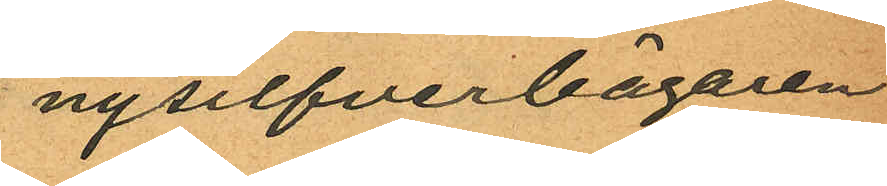nysilfverbägaren
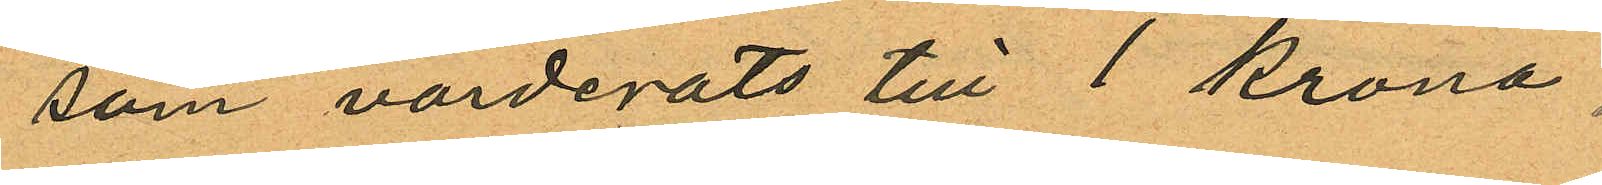som värderats till 1 krona.
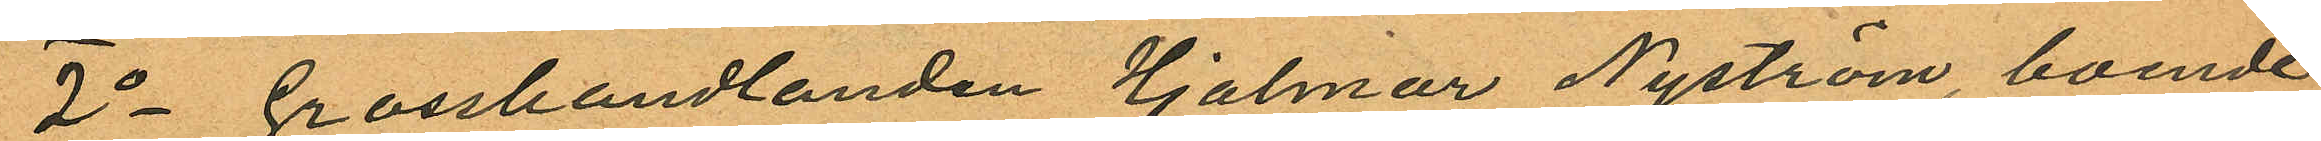2o Grosshandlanden Hjalmar Nyström, boende
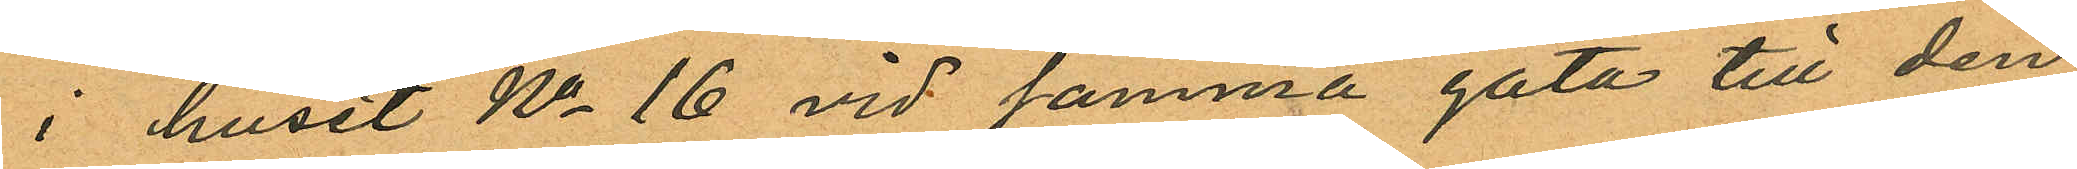i huset No 16 vid samma gata till den
